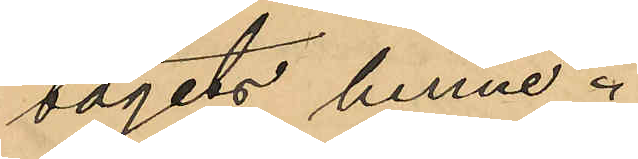tagits henne.
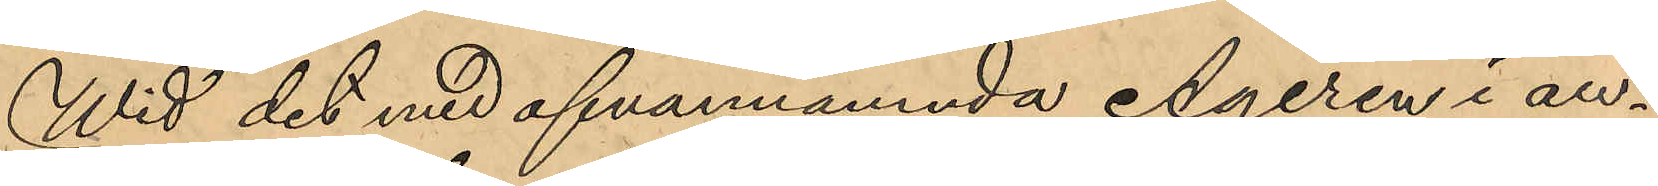Wid det med ofvannämnda Ageren i an¬
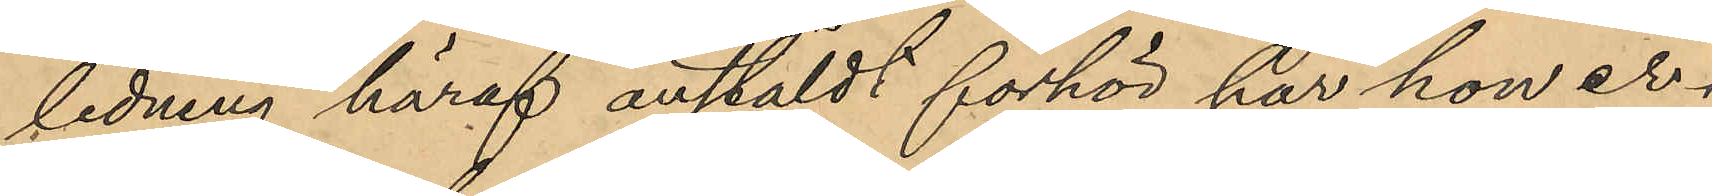ledning häraf anstäldt förhör har hon er¬
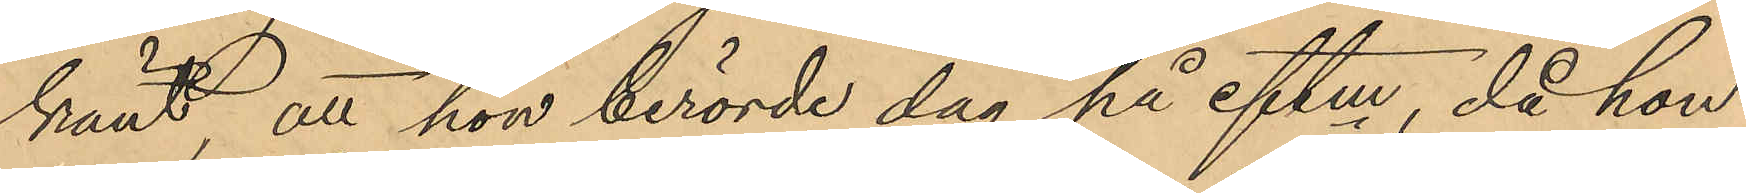känt, att hon berörde dag på eftm, då hon
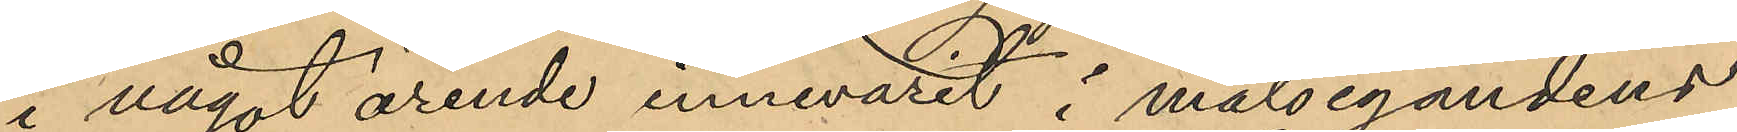i något ärende innevarit i målsegandens
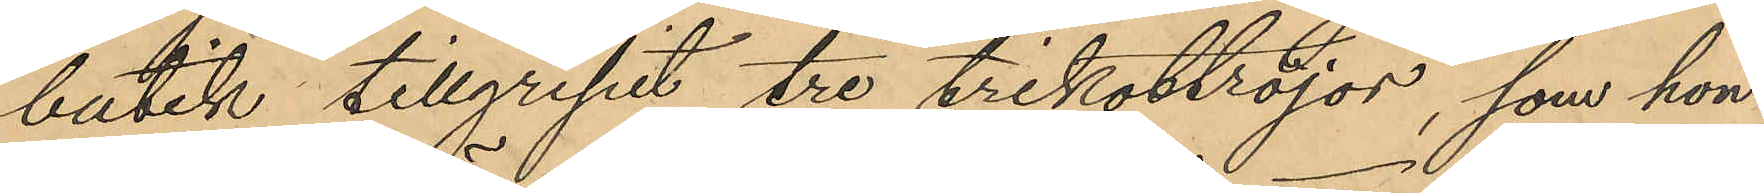butik tillgripit tre trikottröjor, som hon
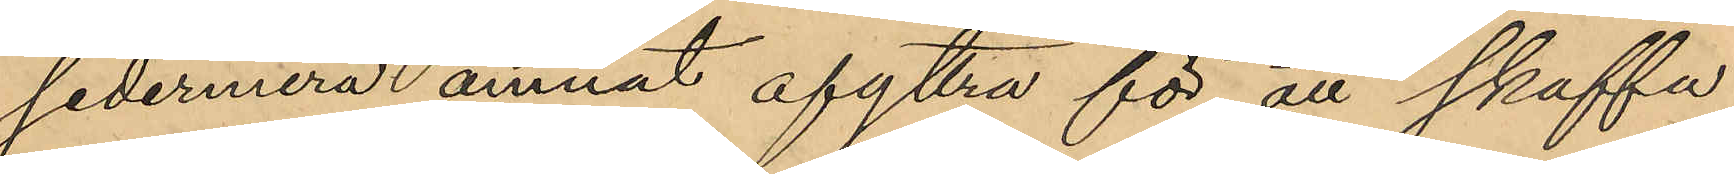sedermera ämnat afyttra för att skaffa
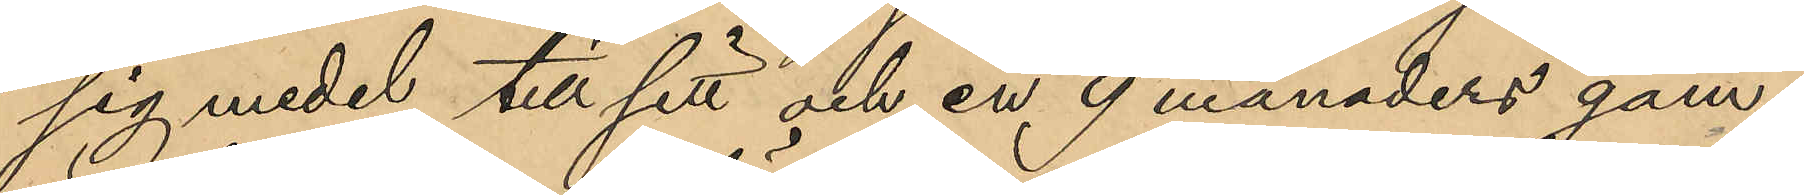sig medel till sitt och en 9 månaders gam¬
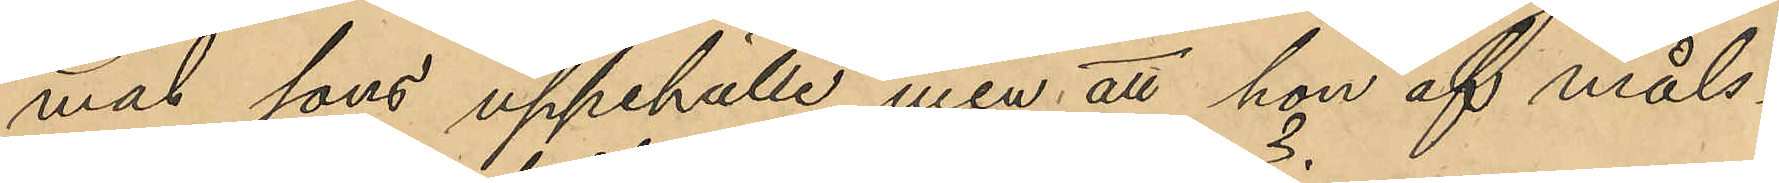mal sons uppehälle men att hon af måls¬
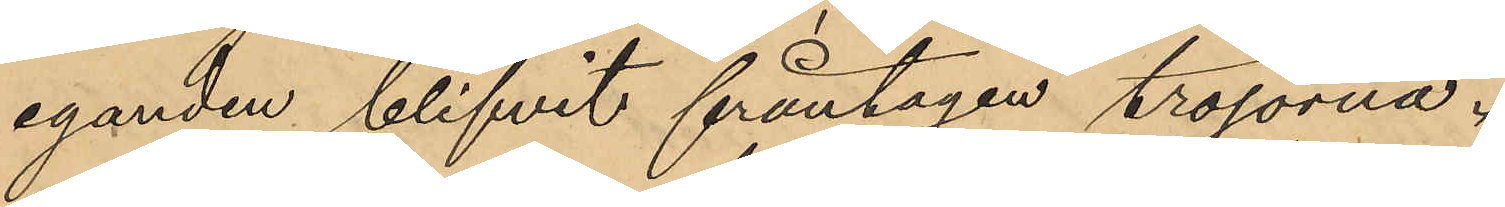eganden blifvit fråntagen tröjorna.
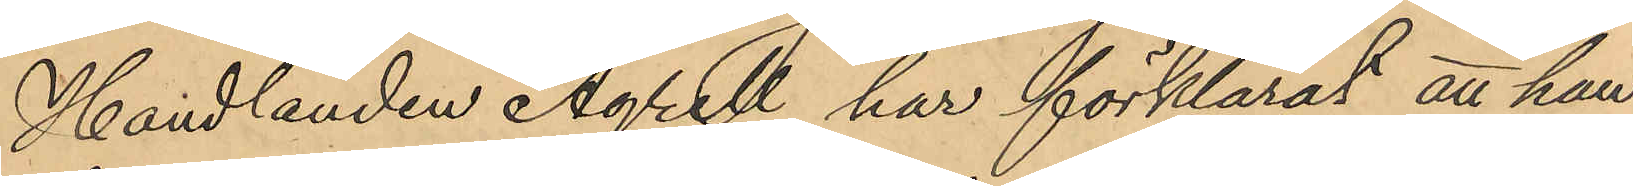Handlanden Agrell har förklarat att han
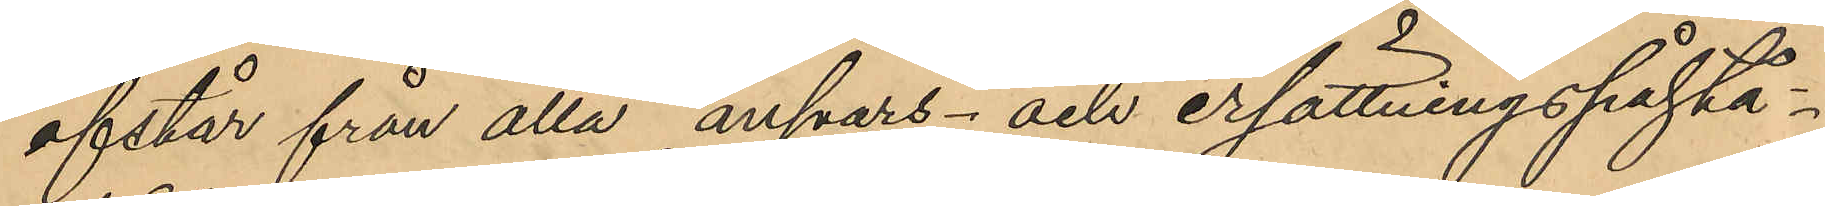afstår från alla ansvars- och ersättningspåstå¬
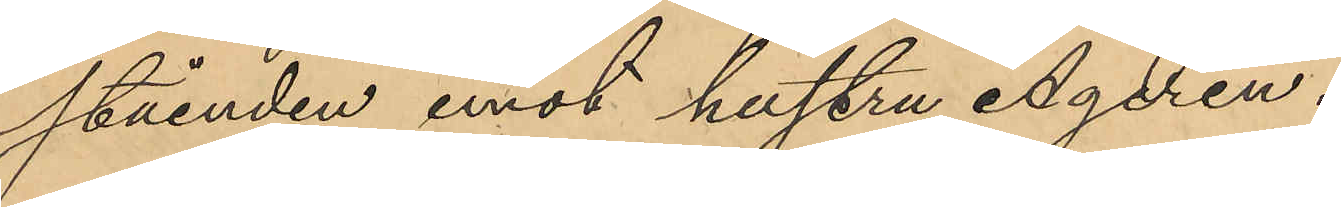ståenden emot hustru Ageren.
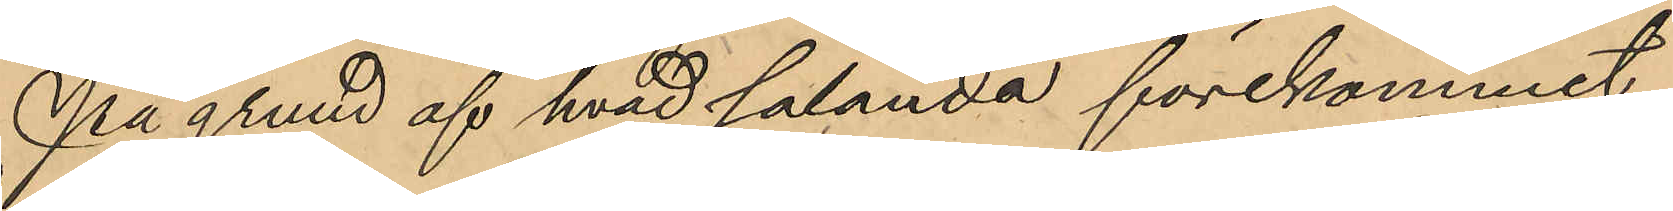På grund af hvad sålunda förekommit
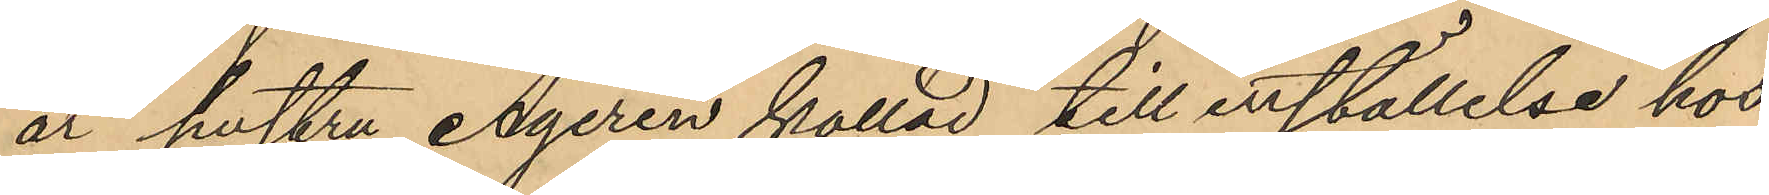är hustru Ageren kallad till inställelse hos
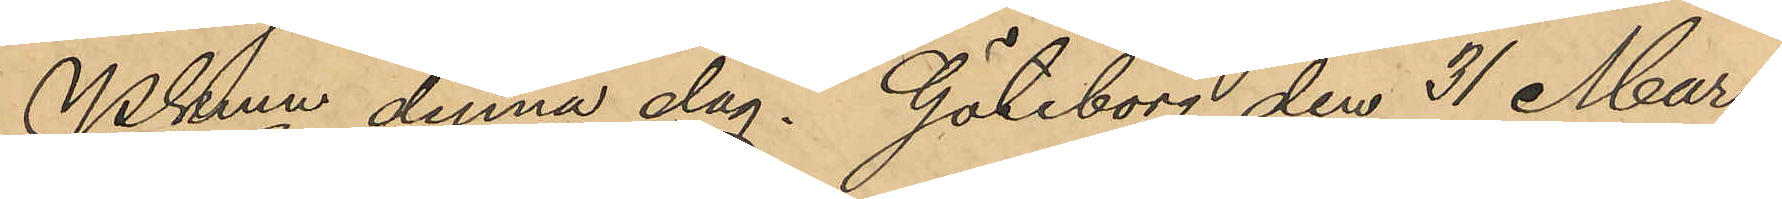Pkmn denna dag. Göteborg den 31 Mars
